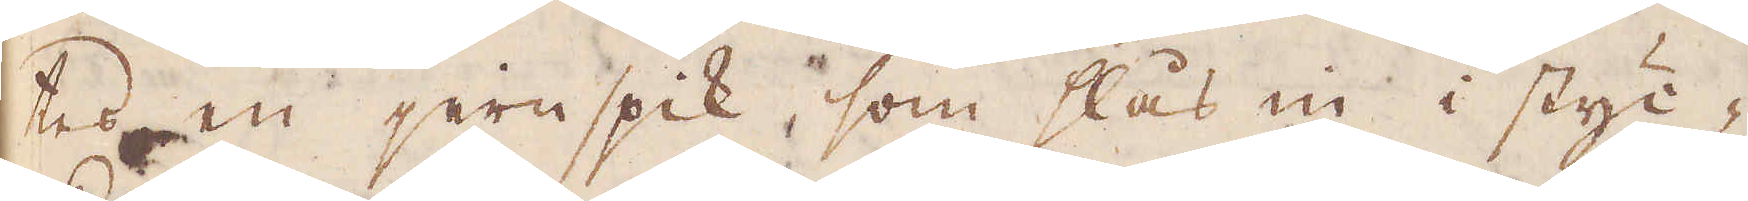kes en jernspik, som slås en i styc-
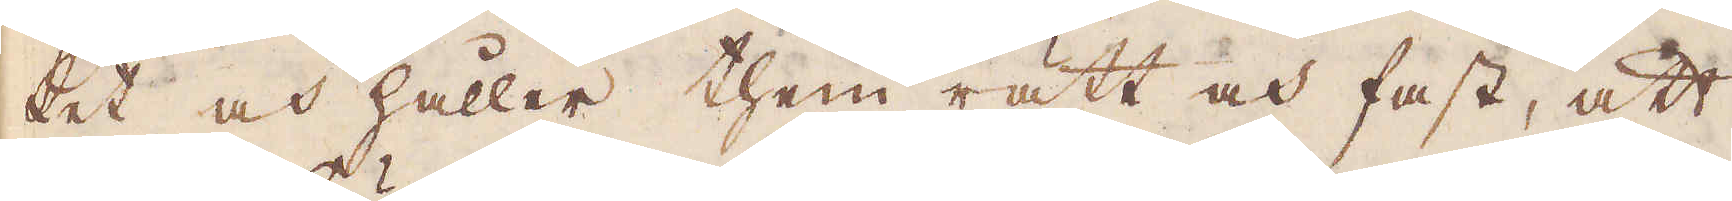ket och håller them rätt och fast, att
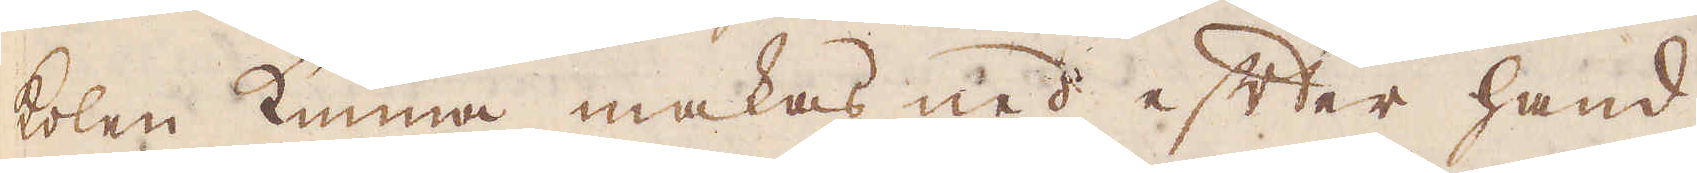kolen kunna makas ned efter hand
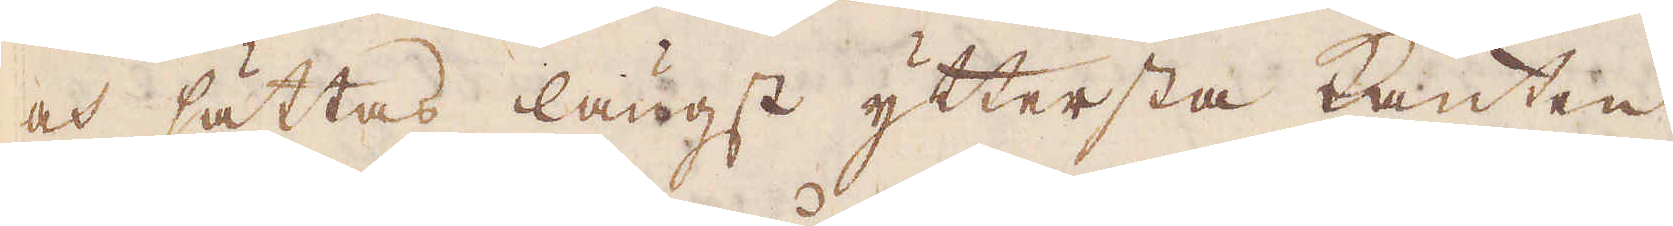och sättas längst yttersta kanten
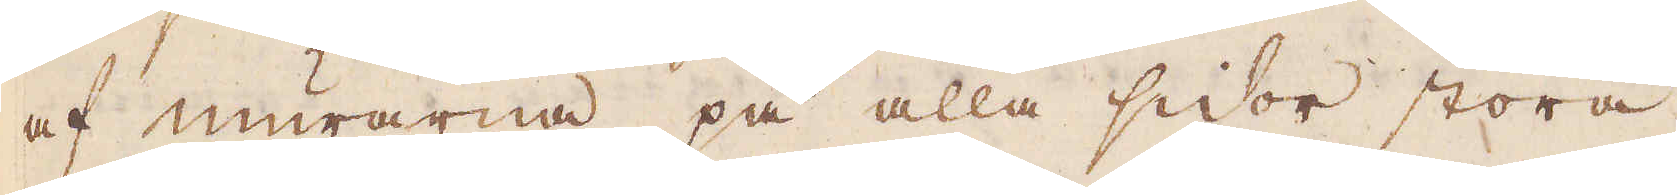af murarna på alla sidor stora.
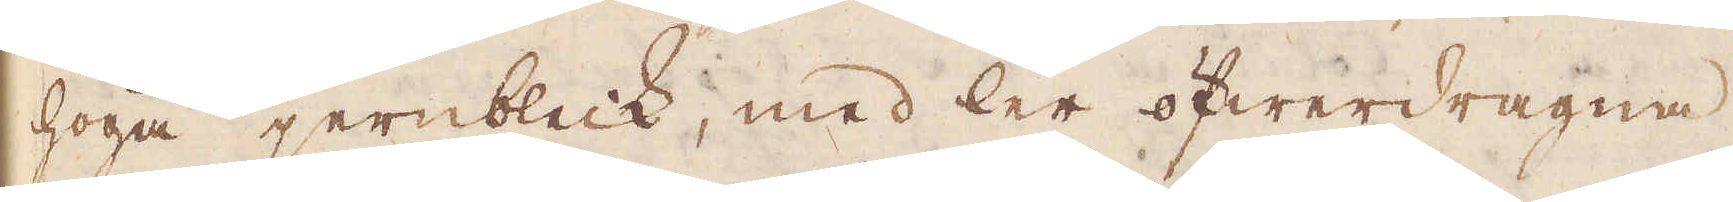höga jernbleck, med ler öfwerdragna
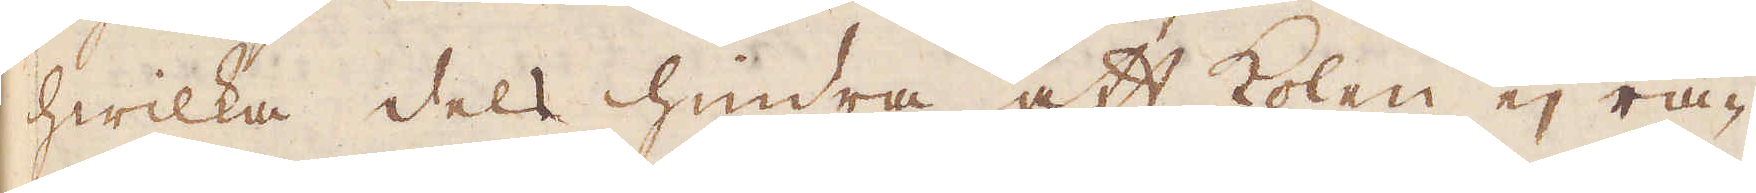hwilka dels hindra att kolen ej ra-
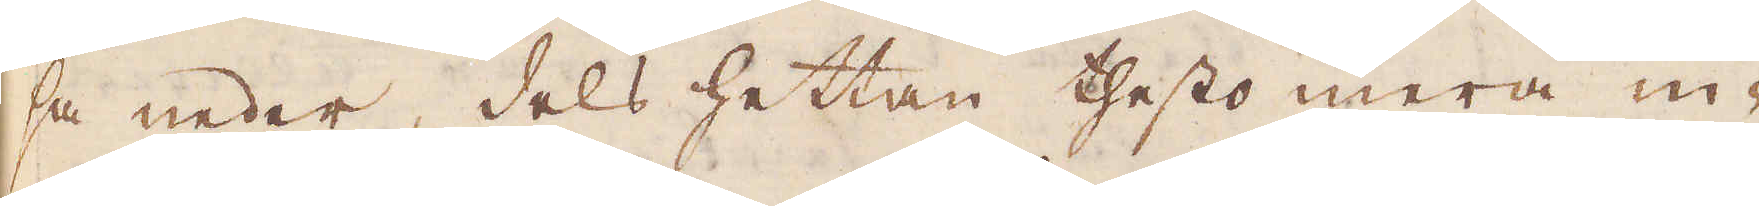sa neder, dels hettan thess mera in-
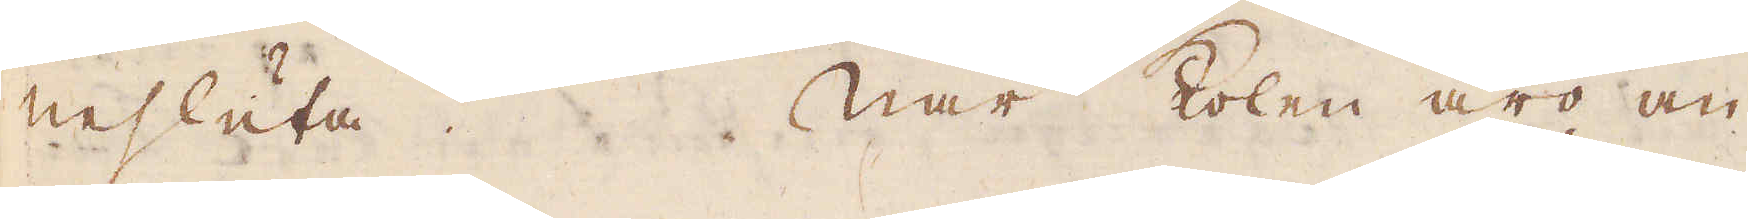nesluta. När kolen äro an-
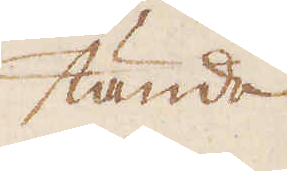tända
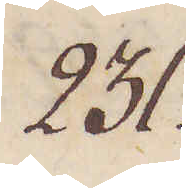231.
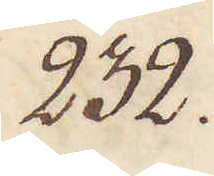232.
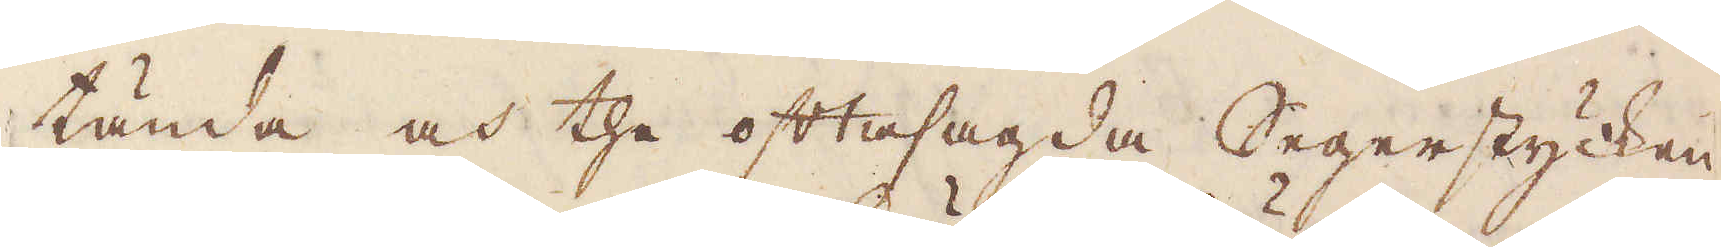tända och the oftasagda Segerstycken
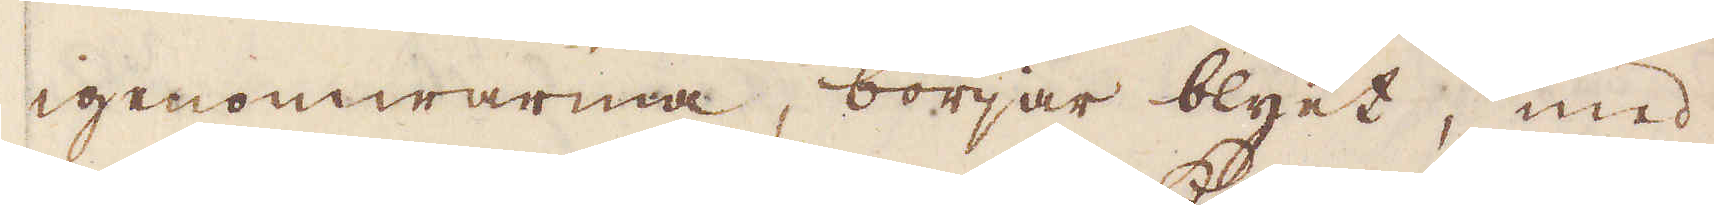igenomwarma, börjar blyet, med
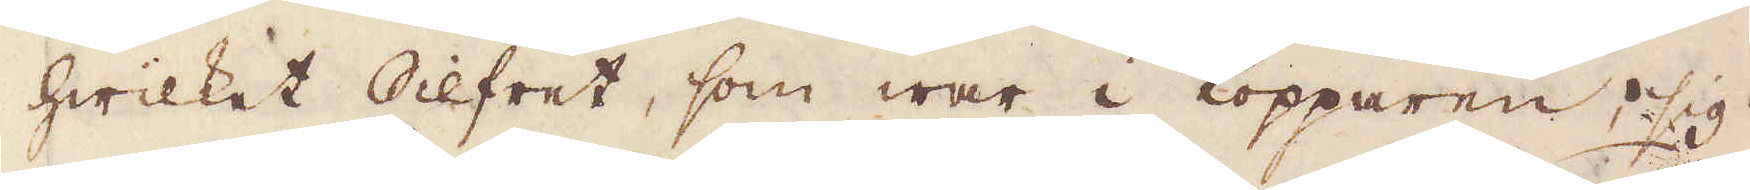hwilket Silfret, som war i Kopparen, sig
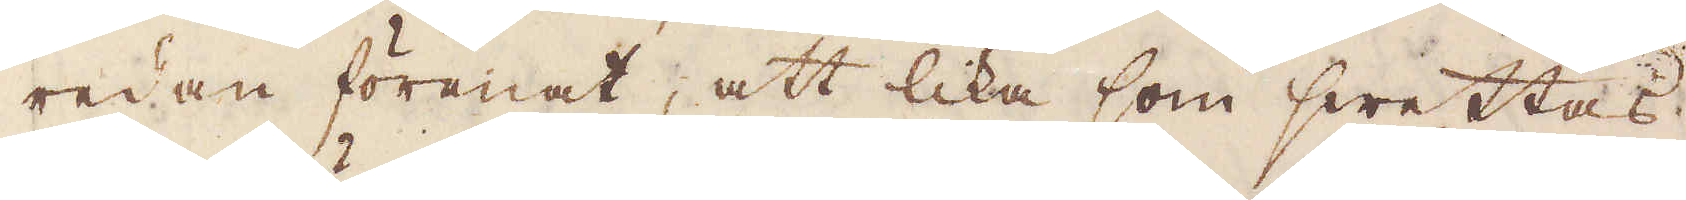redan förenat, att lika som swettas
